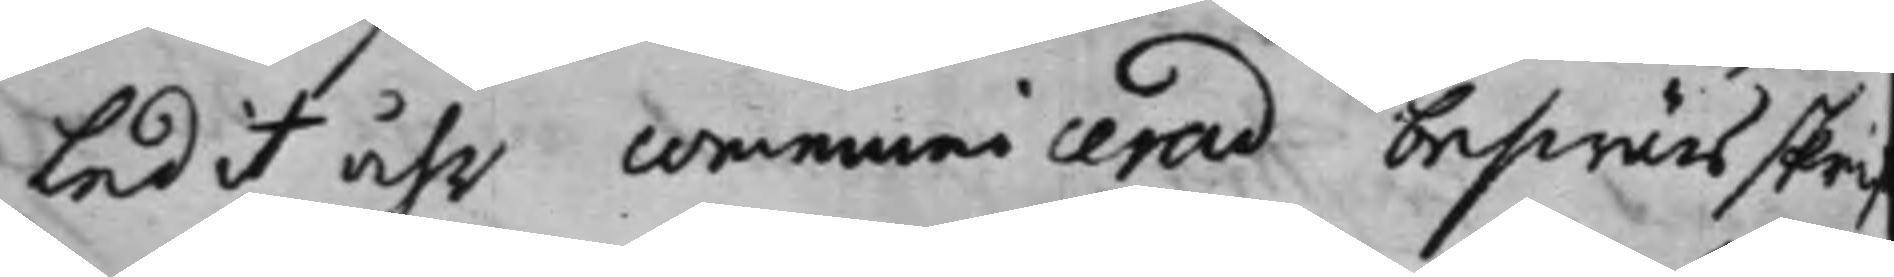ledit åhr communicerad beswärsskri
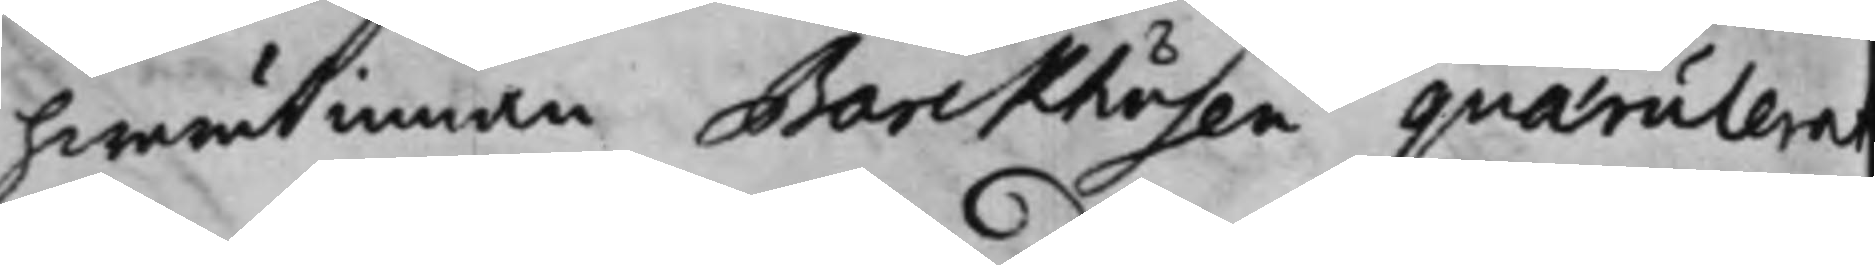hwarutinnan Barckhusen qvaerulera
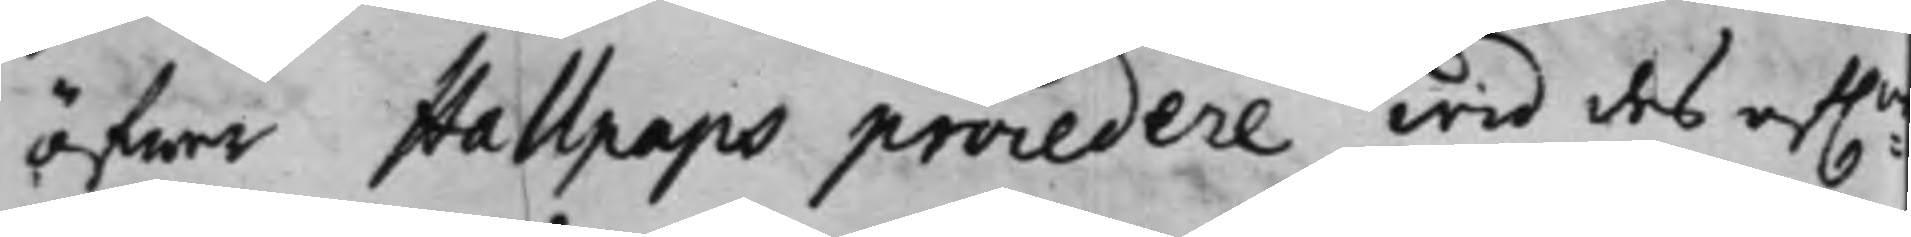öfwer Hallpaps procedere wid des af:n
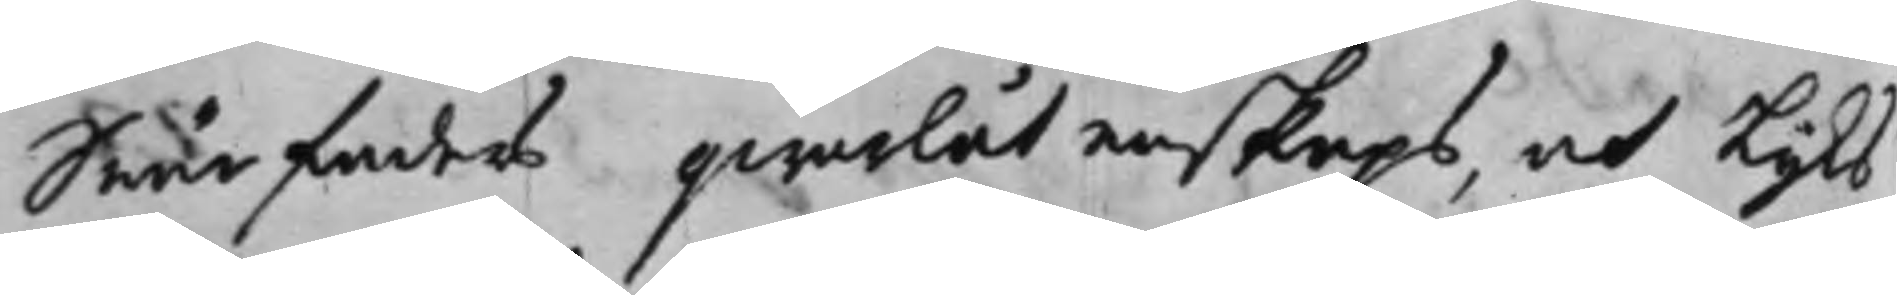Swärfaders qwarlåtenskaps, och Liks
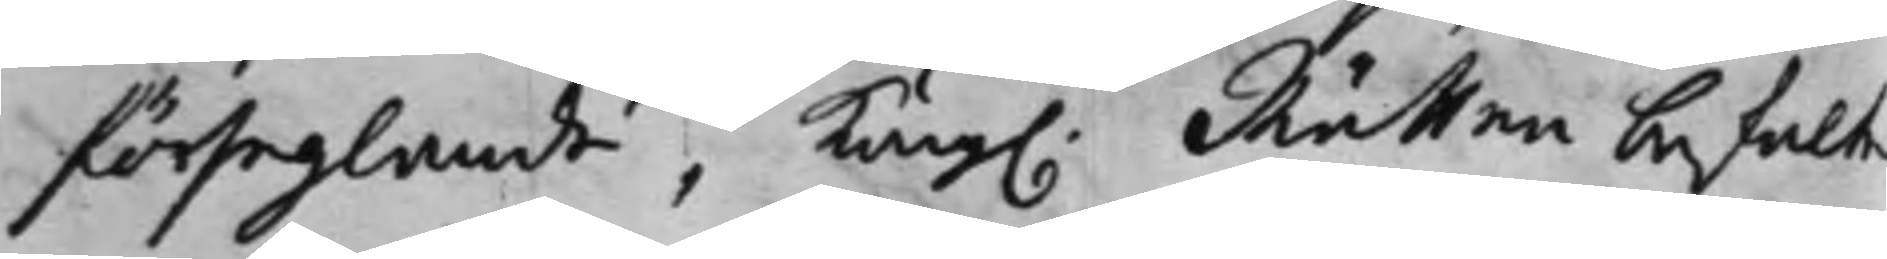förseglande, Kong. Rätten befalte
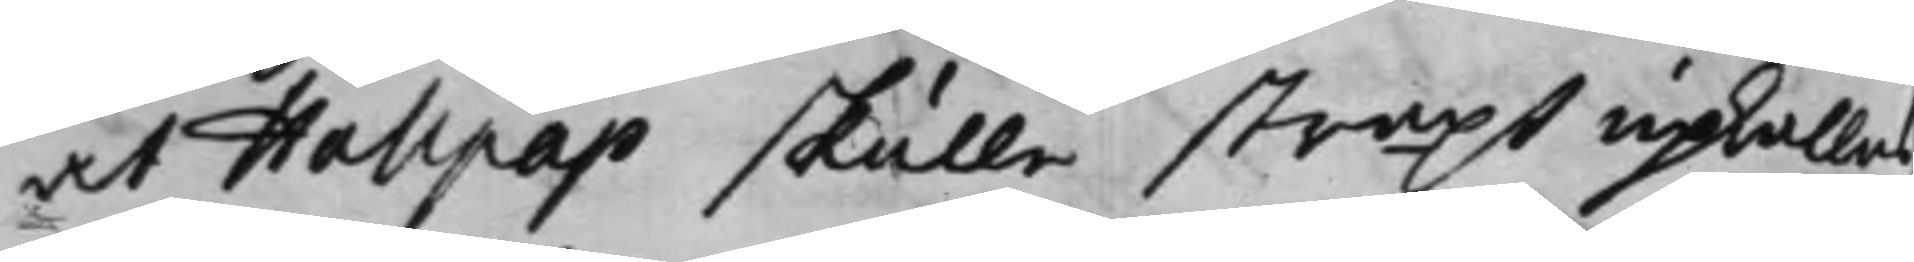at Hallpap skulle straxt upkallas
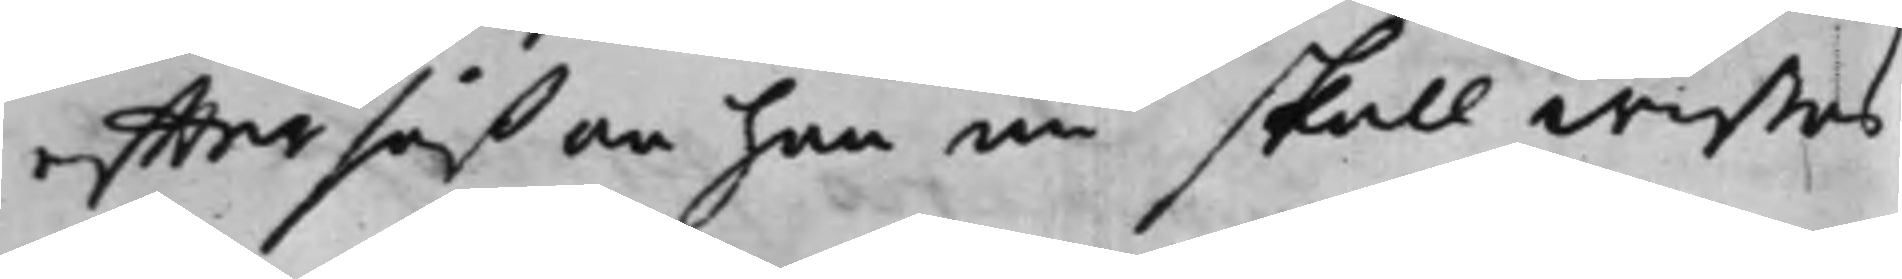effter såßom han nu skall wistas
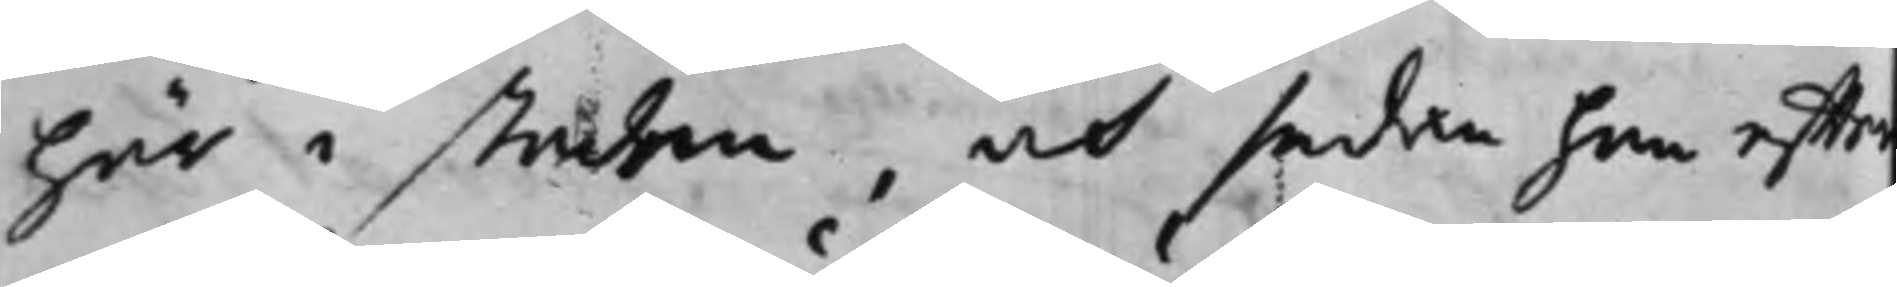här i staden, och sedan han effter
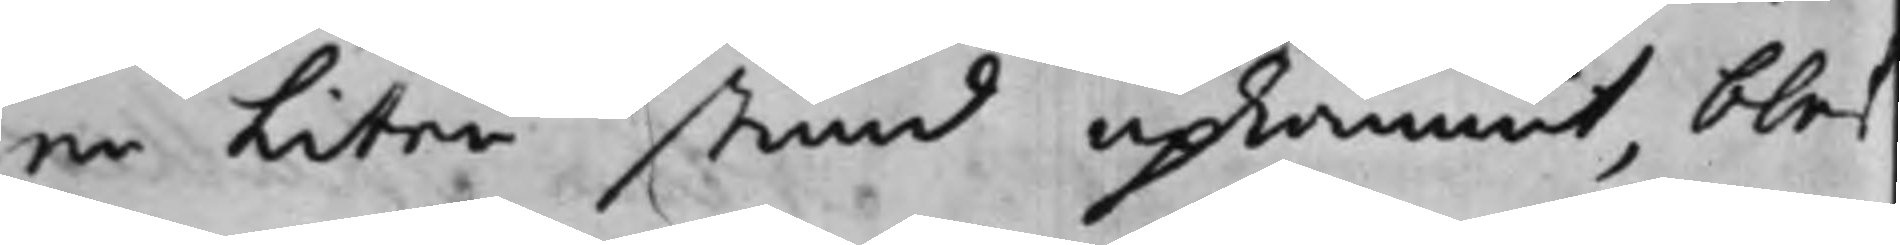en liten stund upkommit, blef
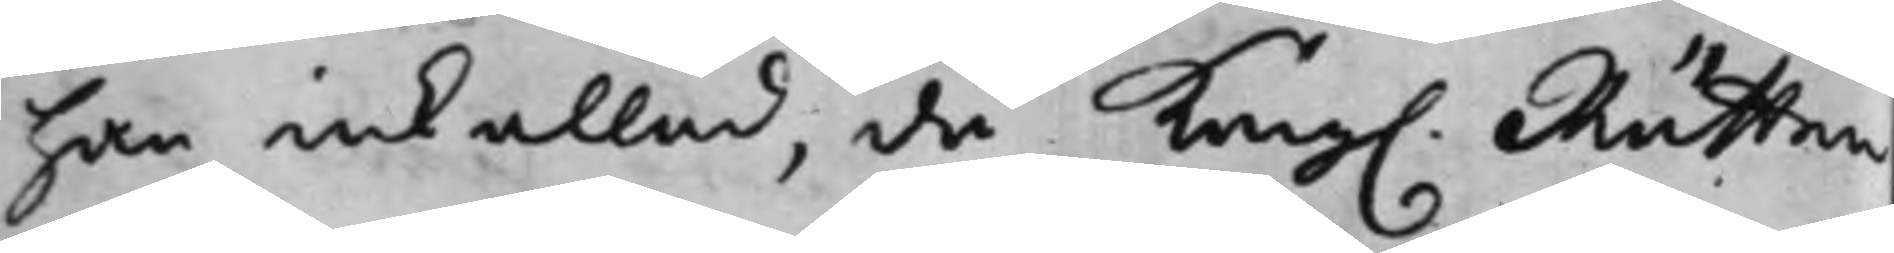han inkallad, då Kong. Rätten
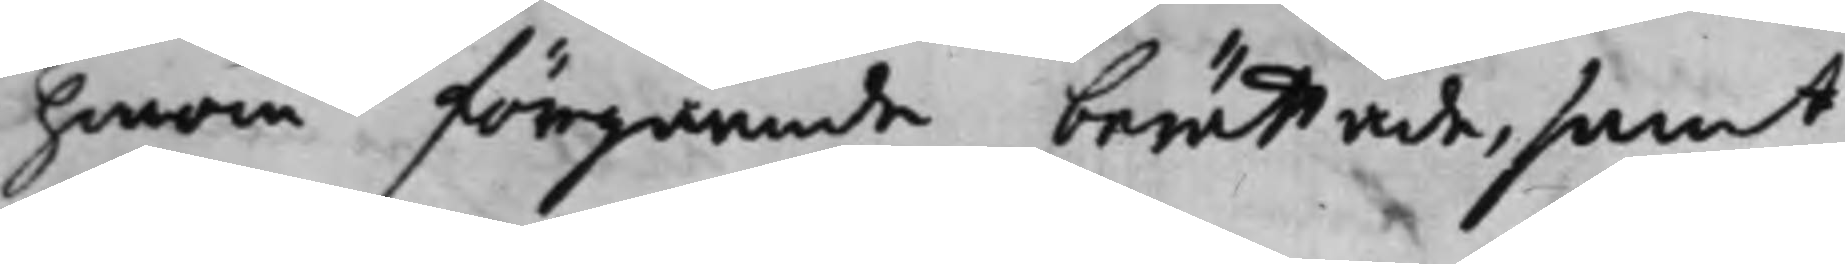honom förgående berättade, samt
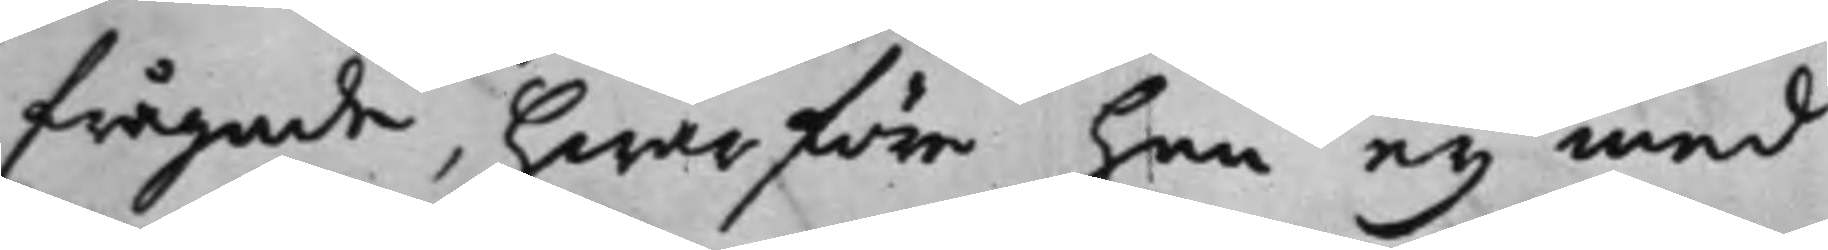frågade, hwarföre han ey med
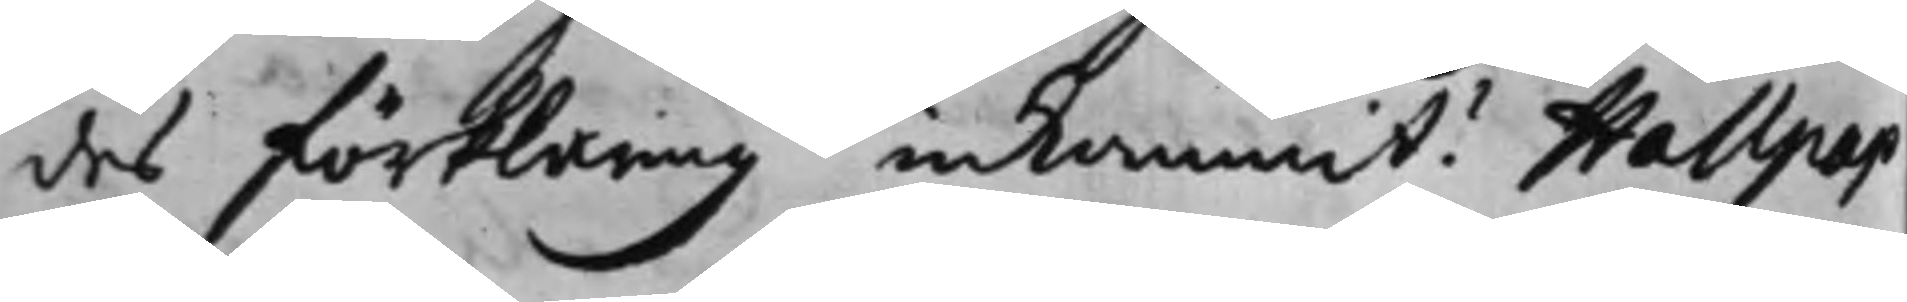des förklaring inkommit? Hallpap
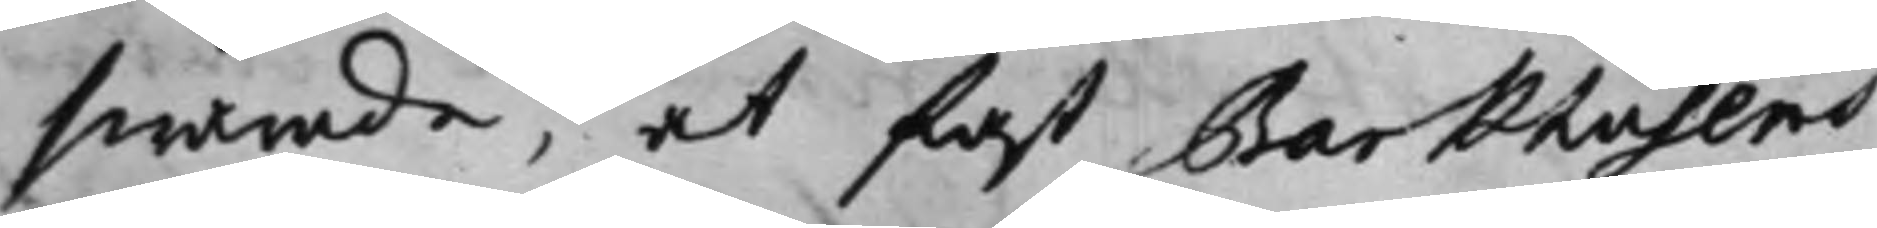swarade, at fast Barkhusens
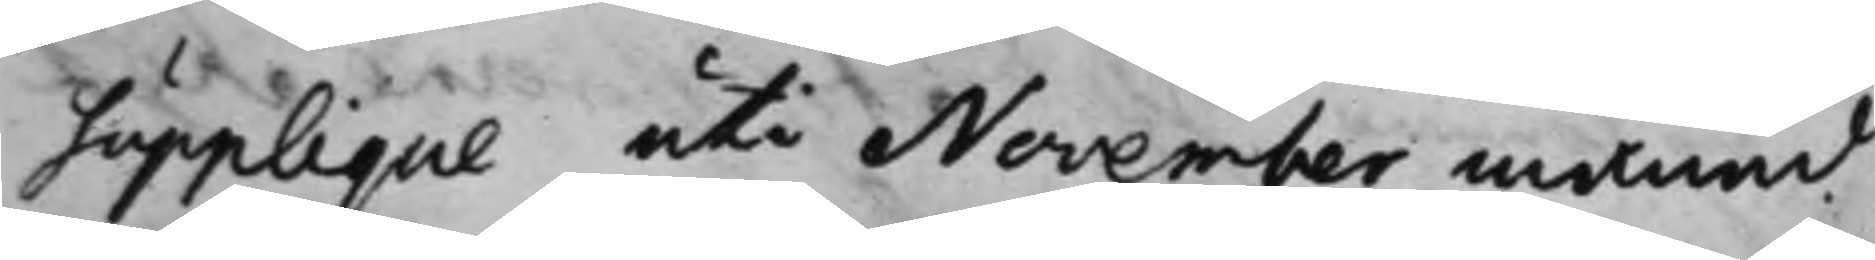Supplique uti November månad
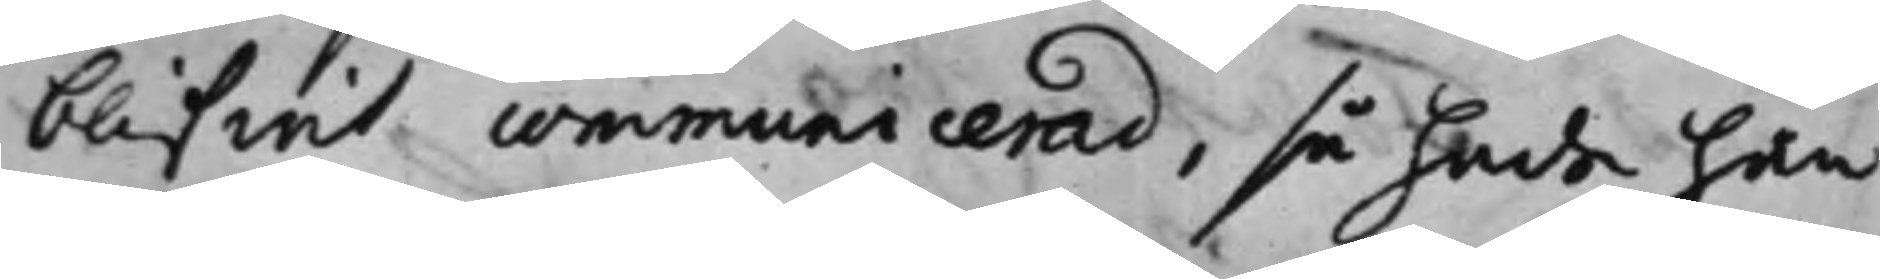blifwit communicerad, så hade han
